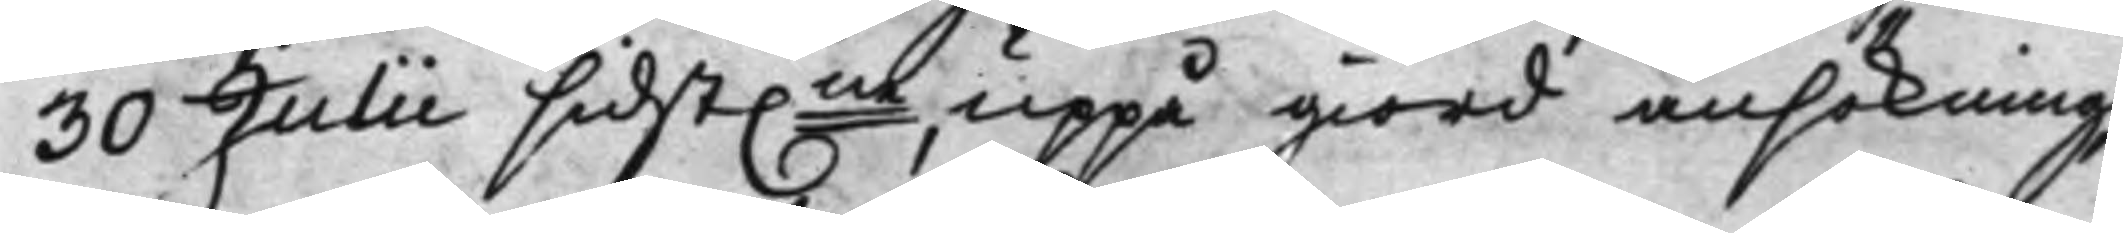30 Julii sidst.ne uppå giord ansökning,
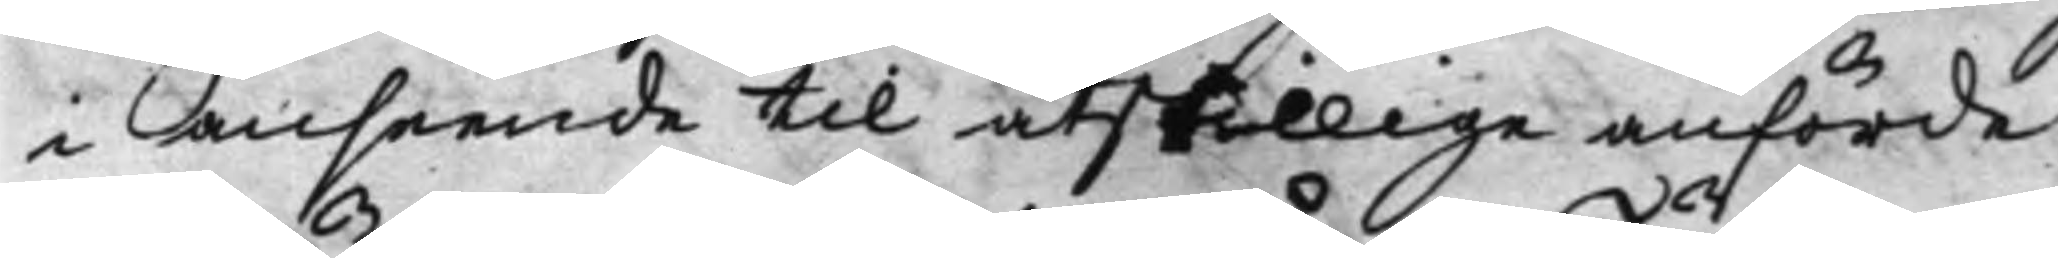i anseende til åtskillige anförde
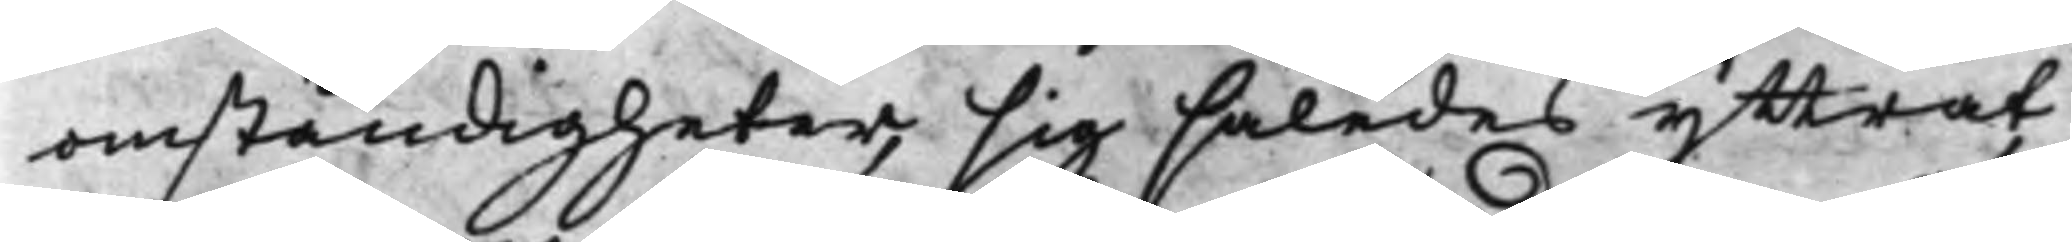omständigheter, sig således yttrat,
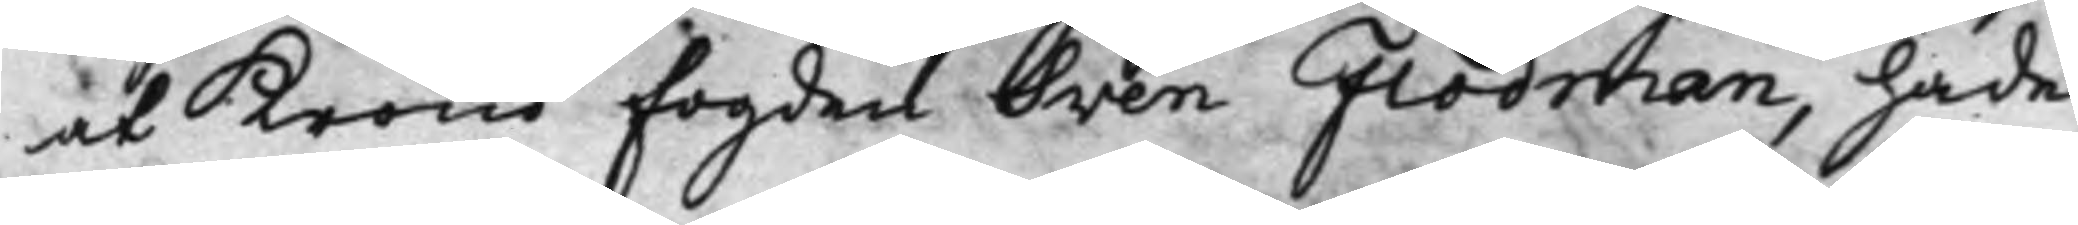at Krono fogden Sven Flodman, hade
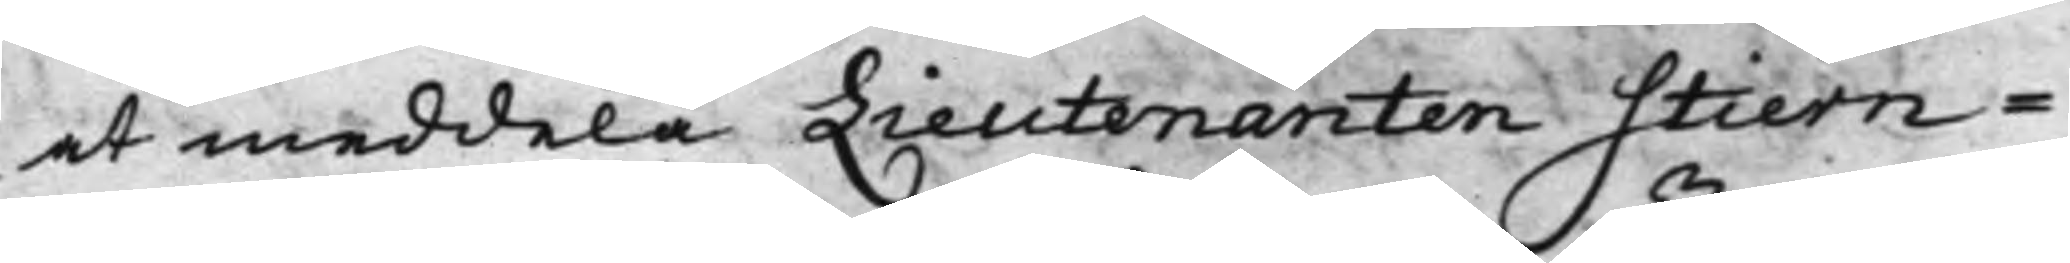at meddela Lieutenanten Stiern¬
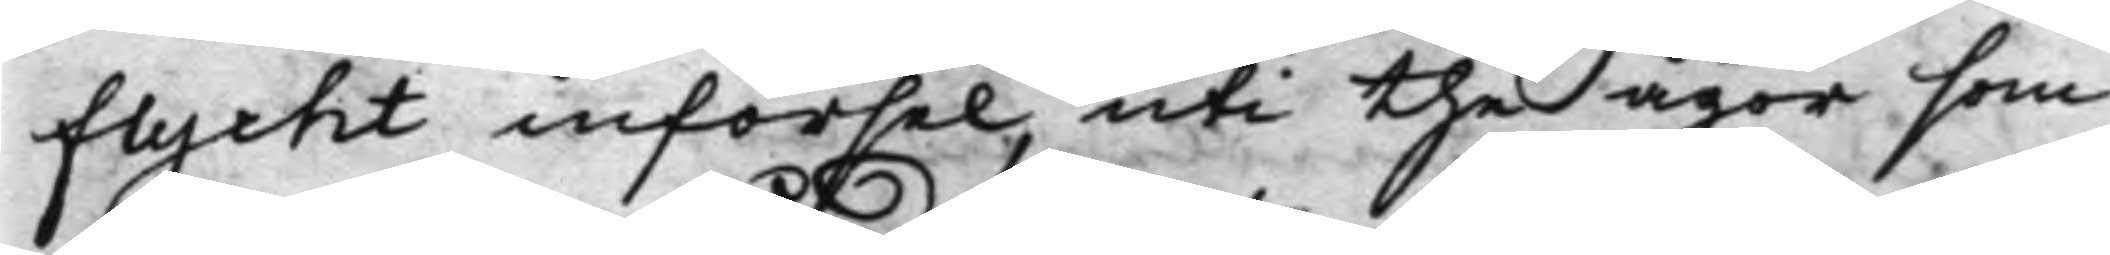flycht införsel, uti the ägor som
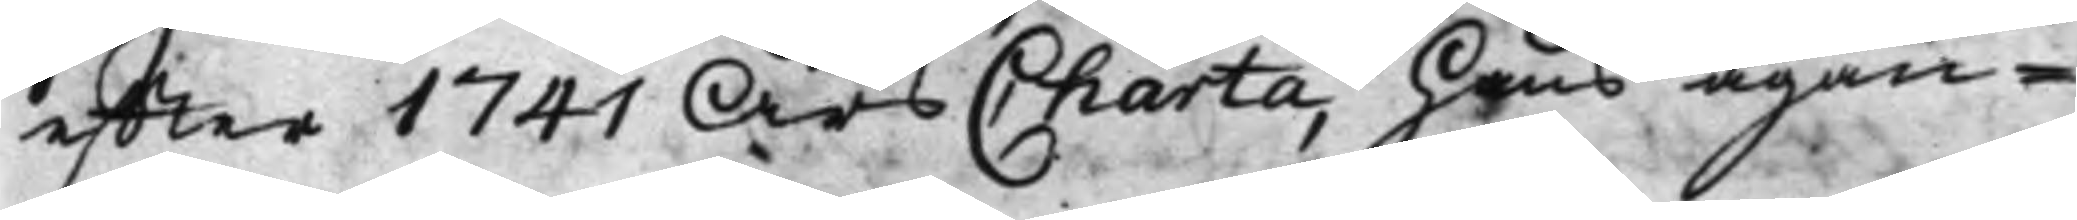effter 1741 Års Charta, hans ägan¬
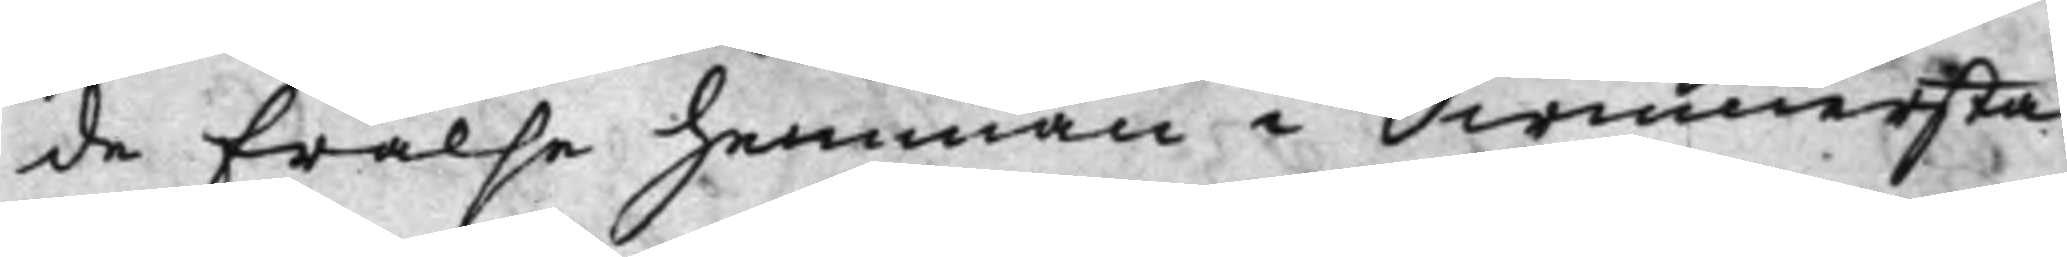de Frälse hemman i Swinnersta
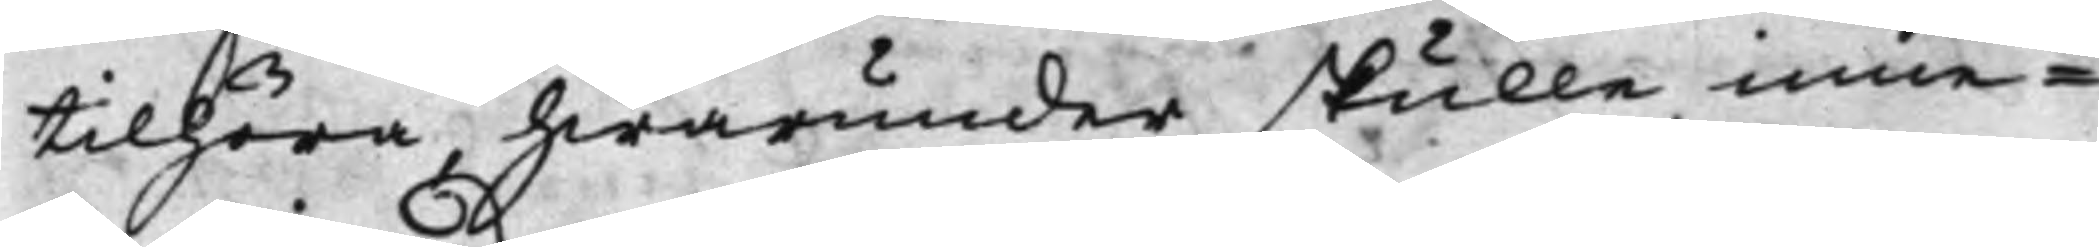tilhöra, hwarunder skulle inne¬
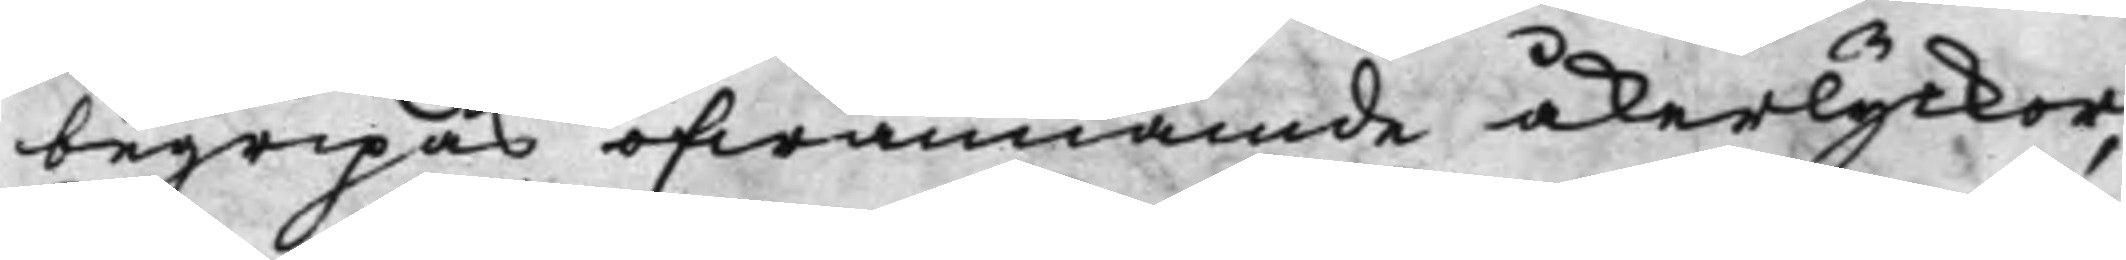begripas ofwannämde åkerlyckor,
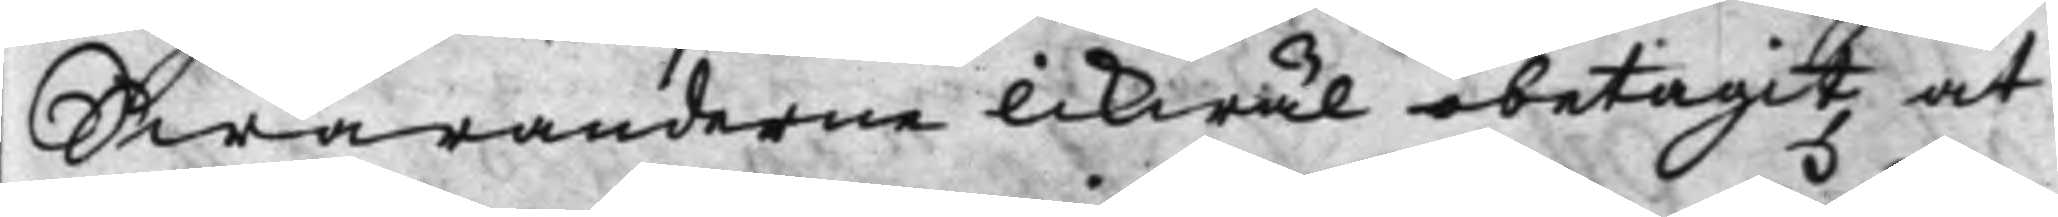Swaranderne likwäl obetagit, at
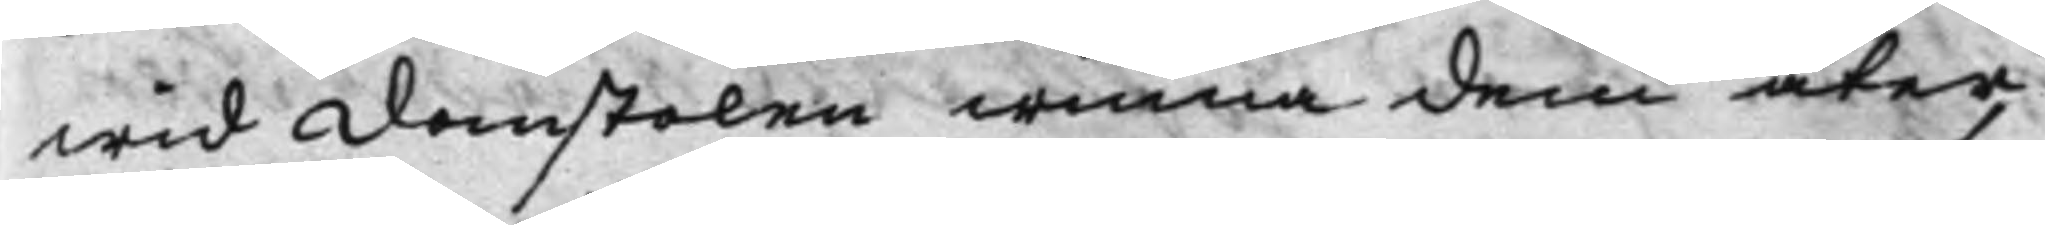wid domstolen winna dem åter,
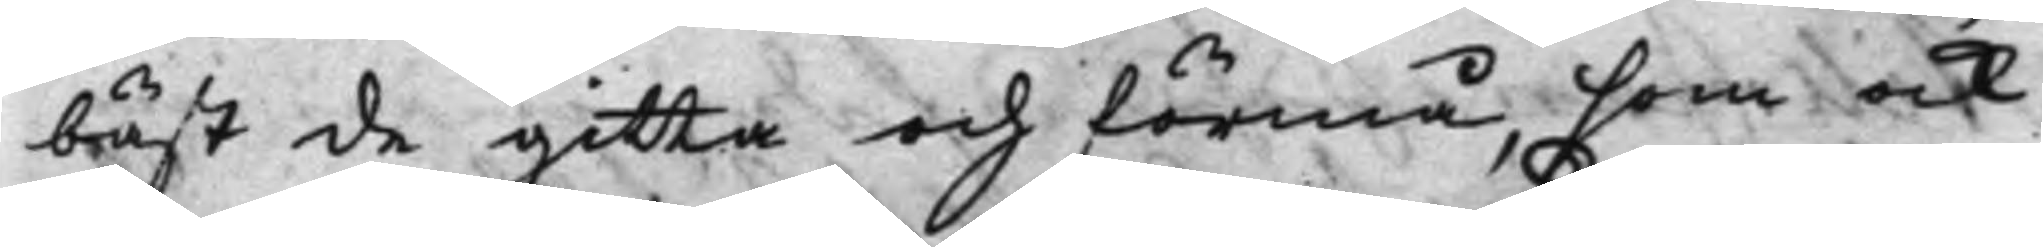bäst de gitta och förmå, som ock
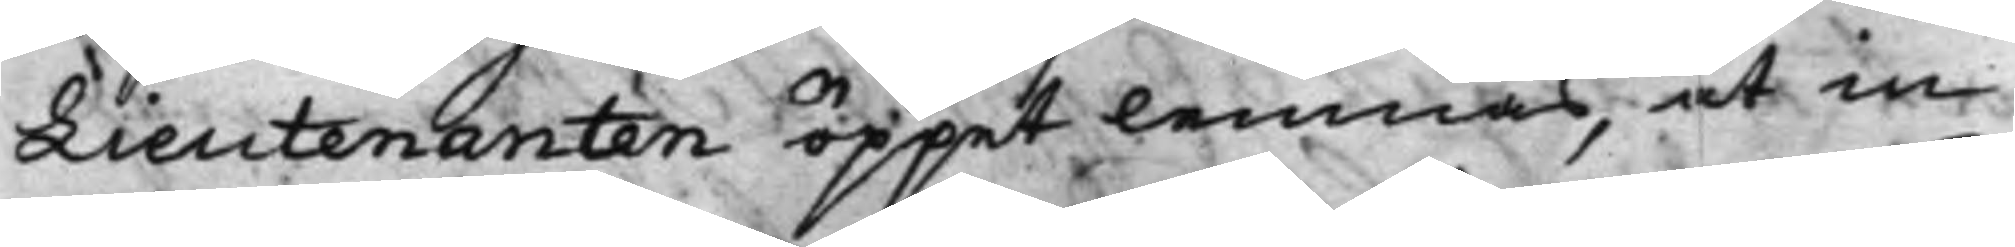Lieutenanten öppet lemnas, at in¬
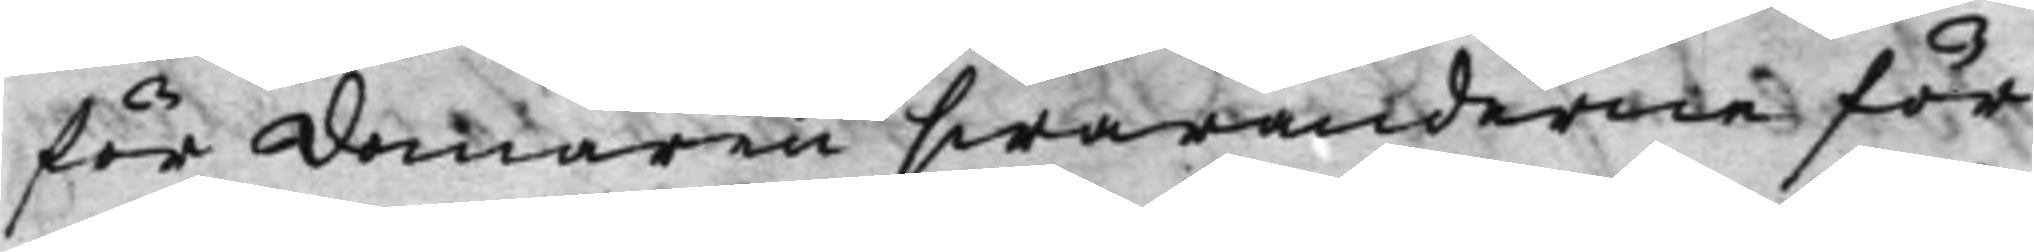för domaren swaranderne för
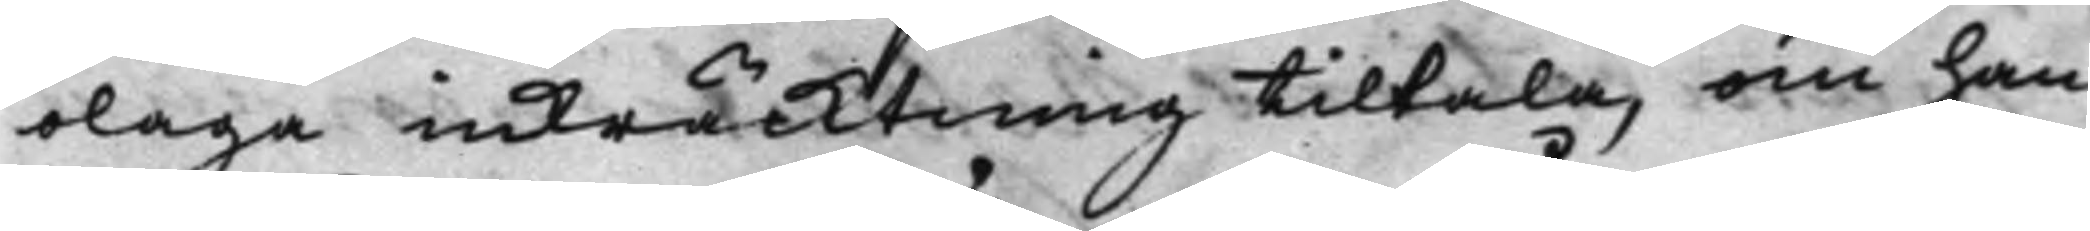olaga inkräcktning tiltala, om han
